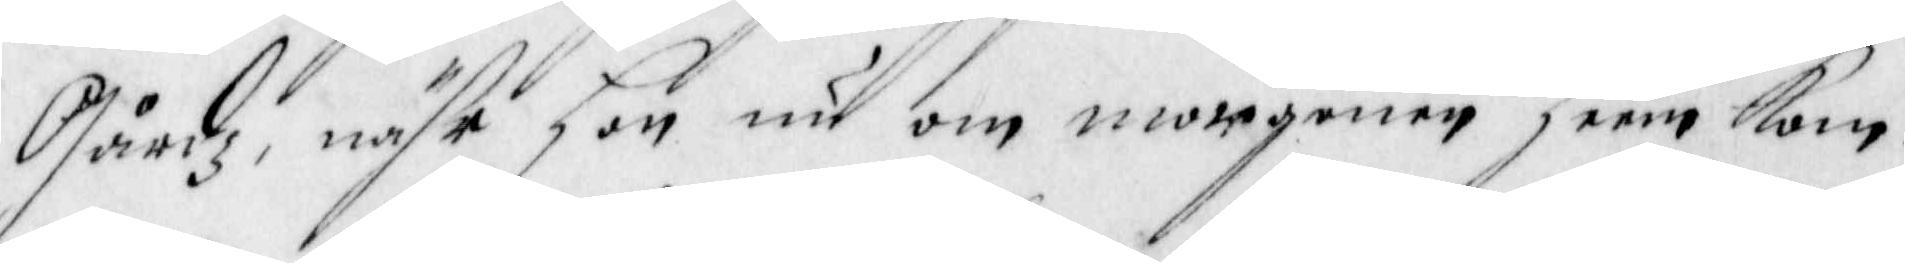Gårdz, nähr hon nu om morgonen heem kom¬
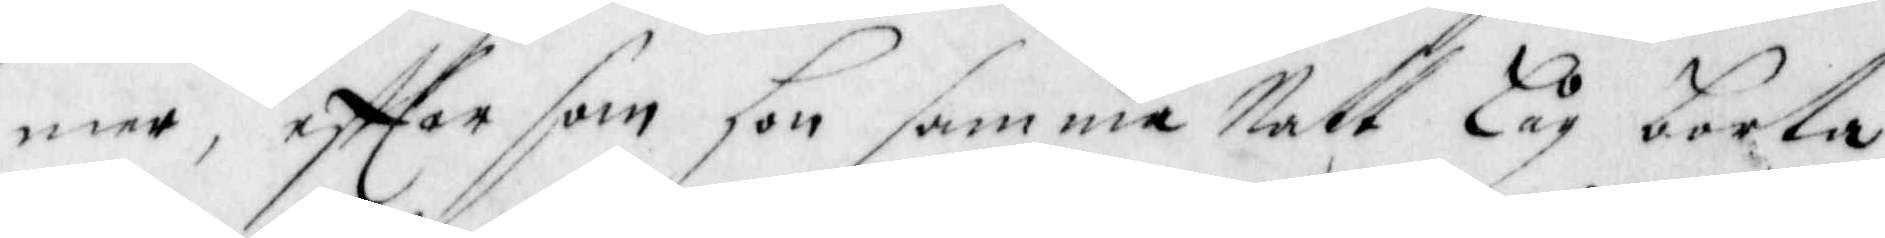mer, effter som hon samma natt Låg borta,
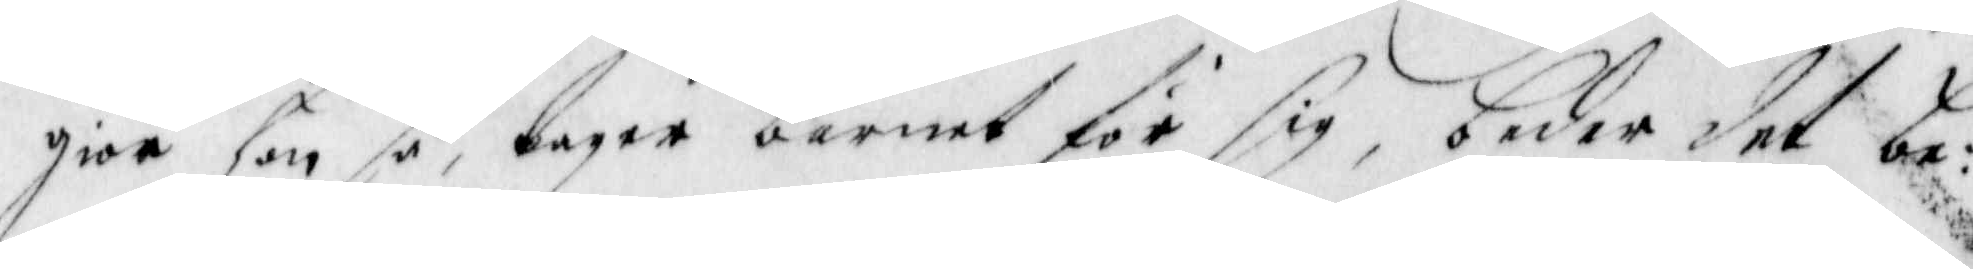giör hon så, tager barnet för sig, beder det be¬
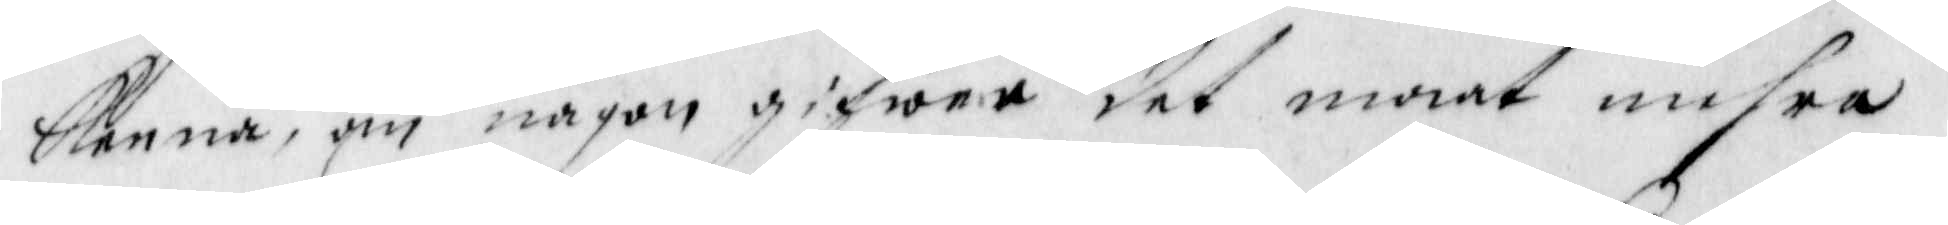kenna, om någon gifwer det maat mehra
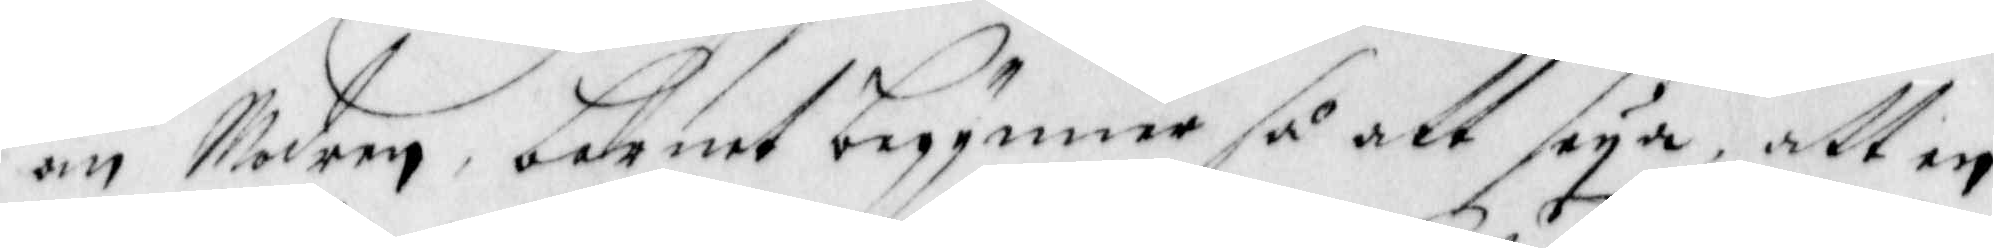än Modern, barnet begynner så att seya, att en
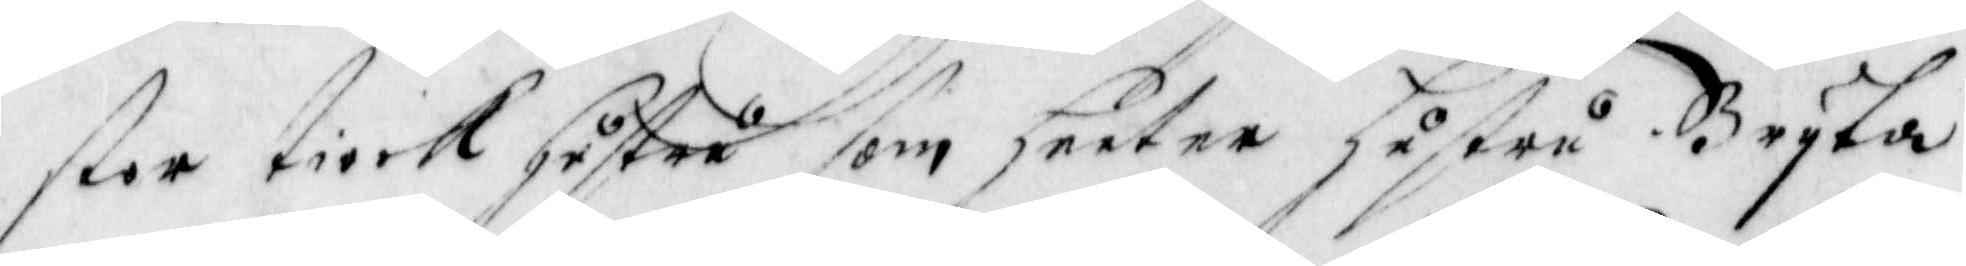stor tiock hustru som heeter hustru Bryta
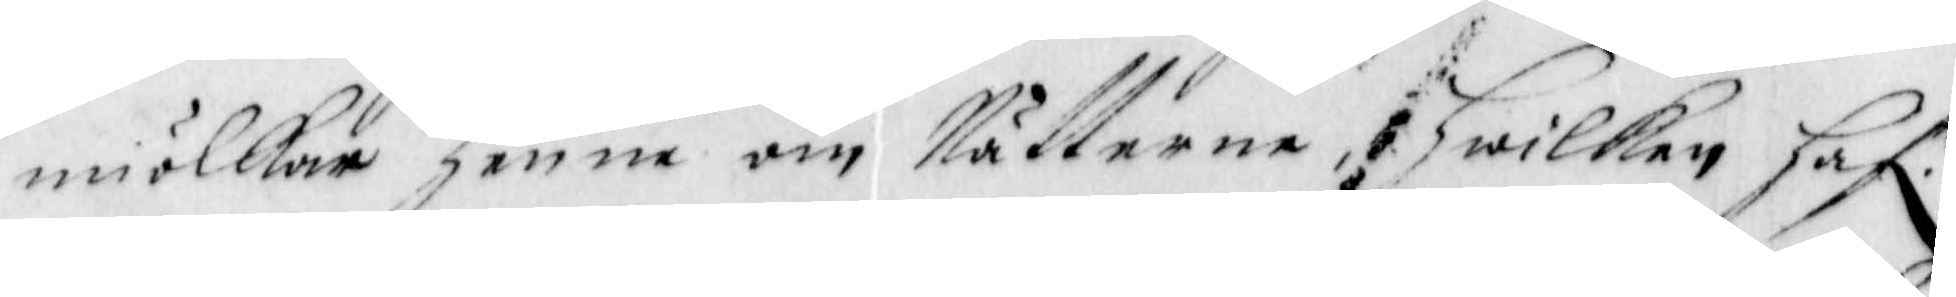miölkar henne om Nätterne, Hhwilken Haf.r
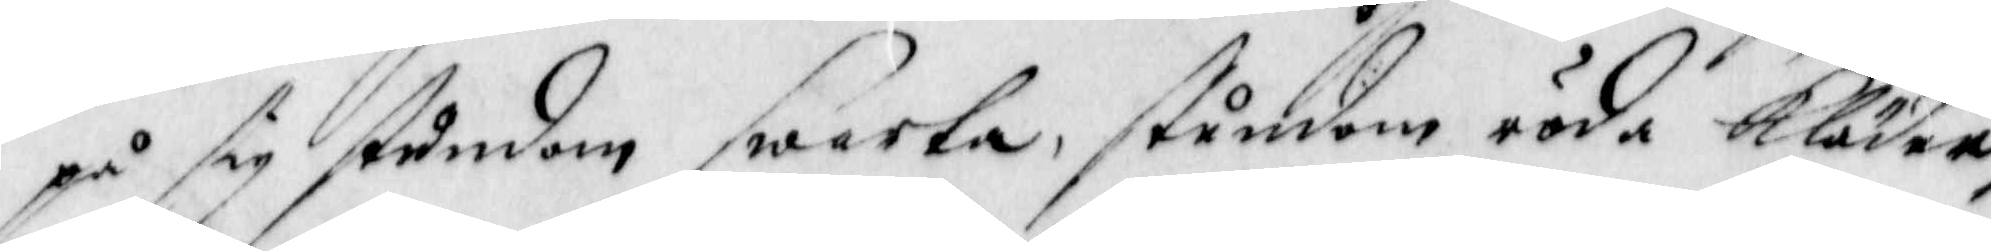på sig stundom swarta, stundom röda Kläder,
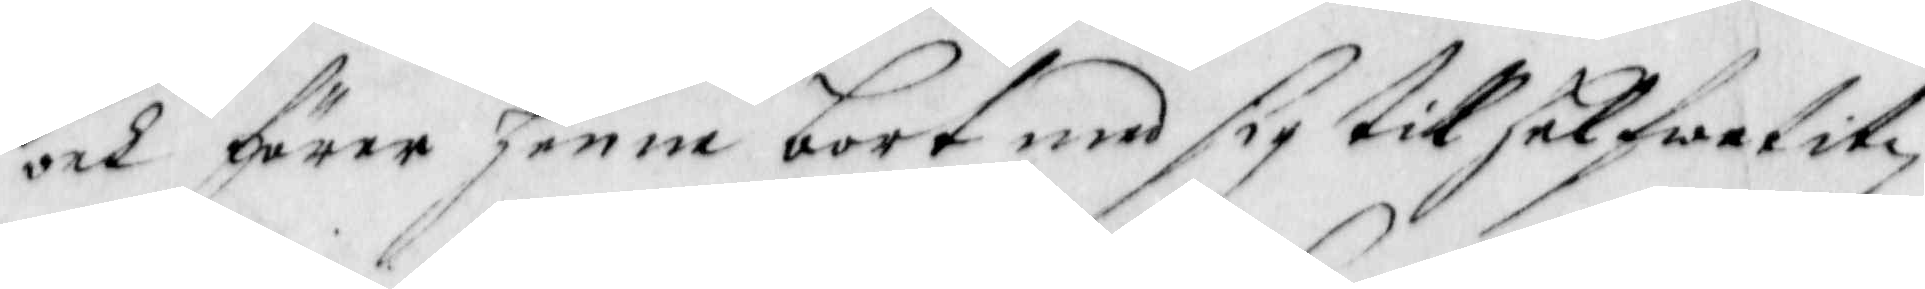och förer henne bort med sig till helfwetitz
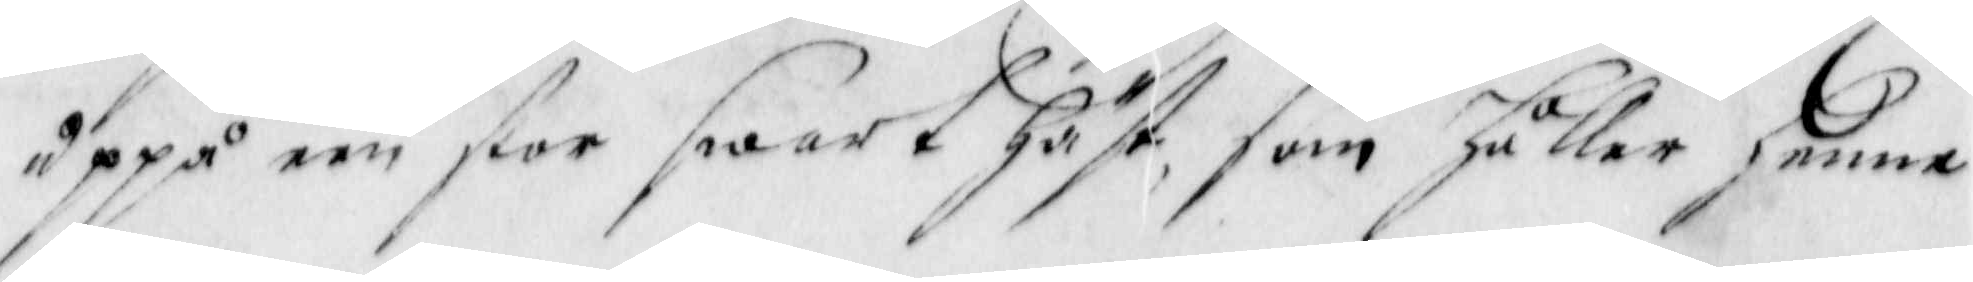Uppå een stor swart häst, som håller henne
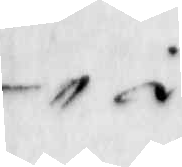i
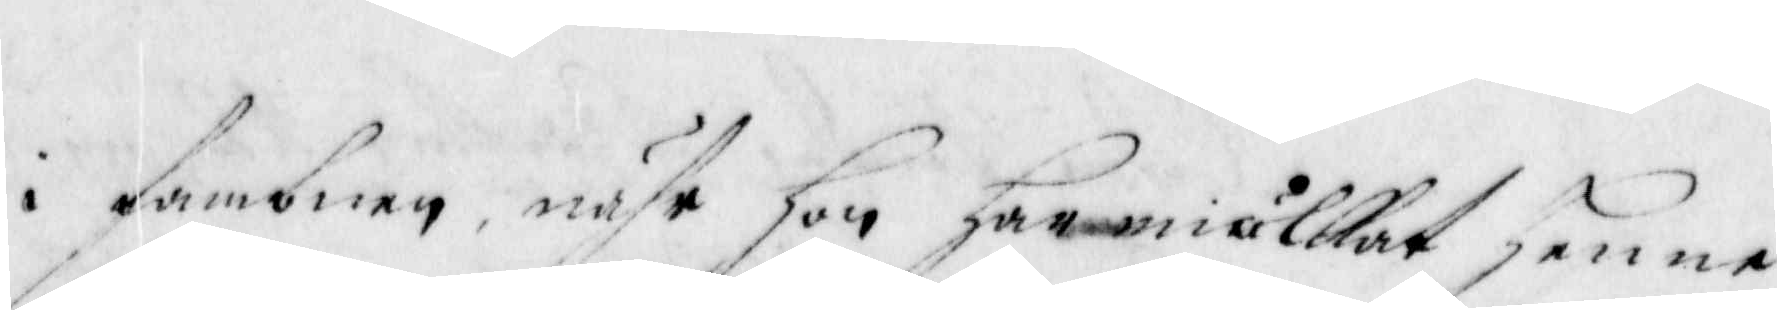i fambnen, nähr hon har miölkat henne
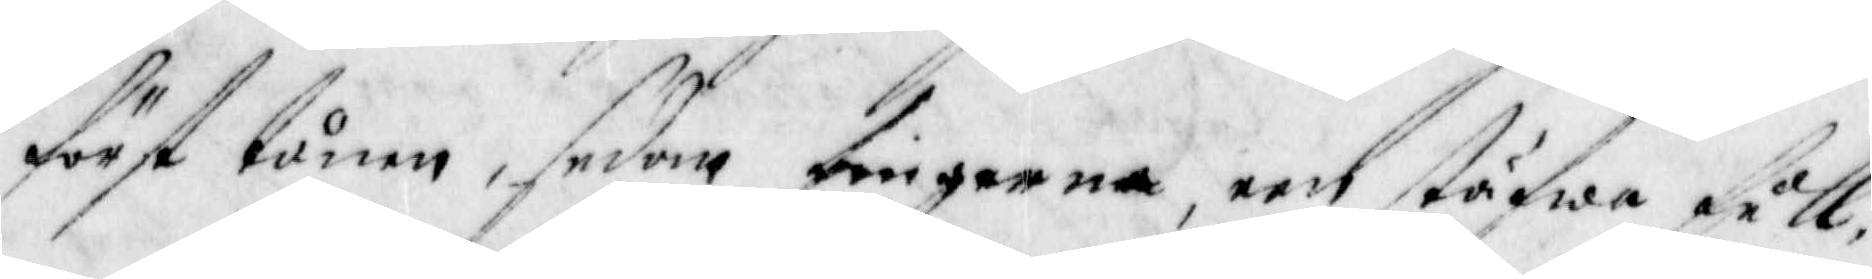först tunen, sedan fingerna, een stäfwa full,
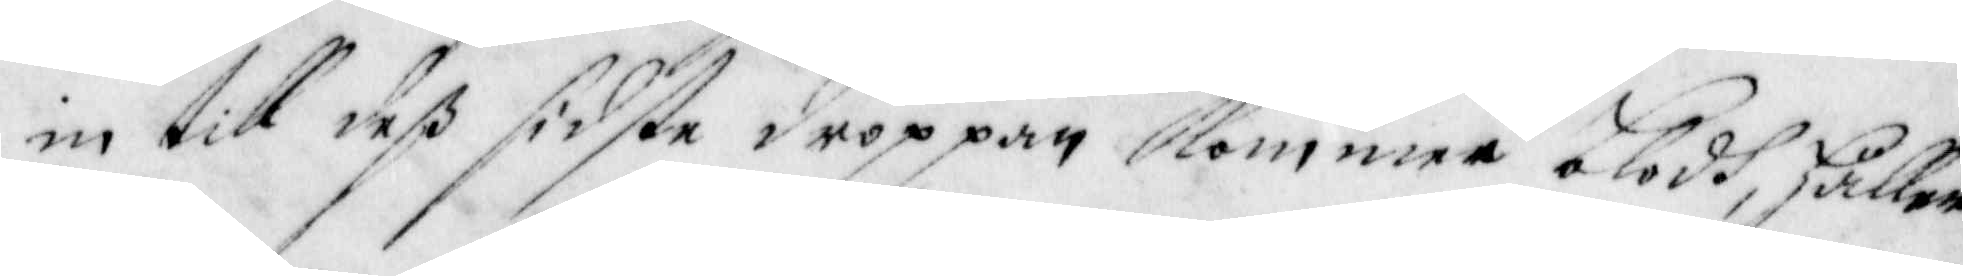in till deß sidste droppan Kommer blodh, håller
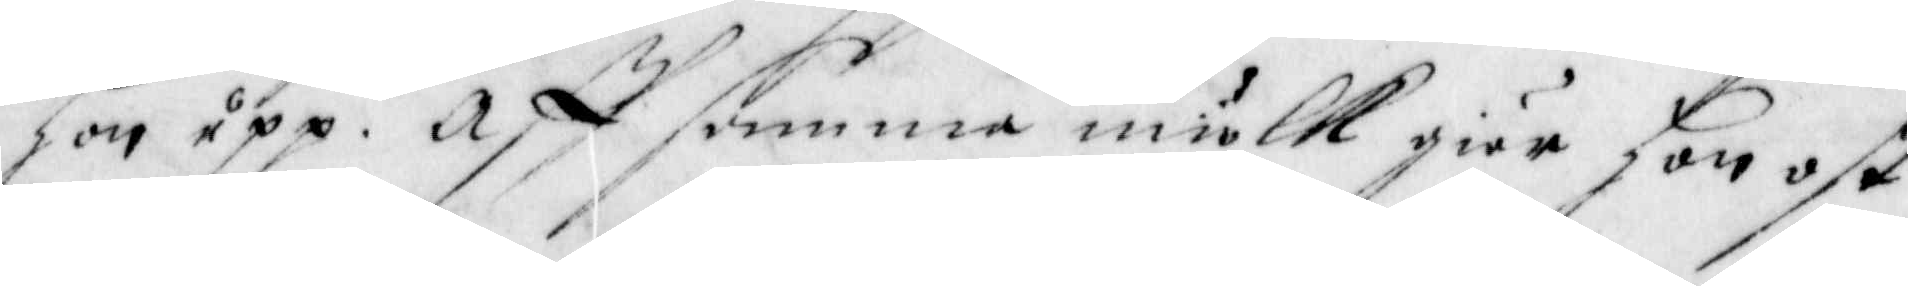hon upp. Aff sammma miölk giör hon ost
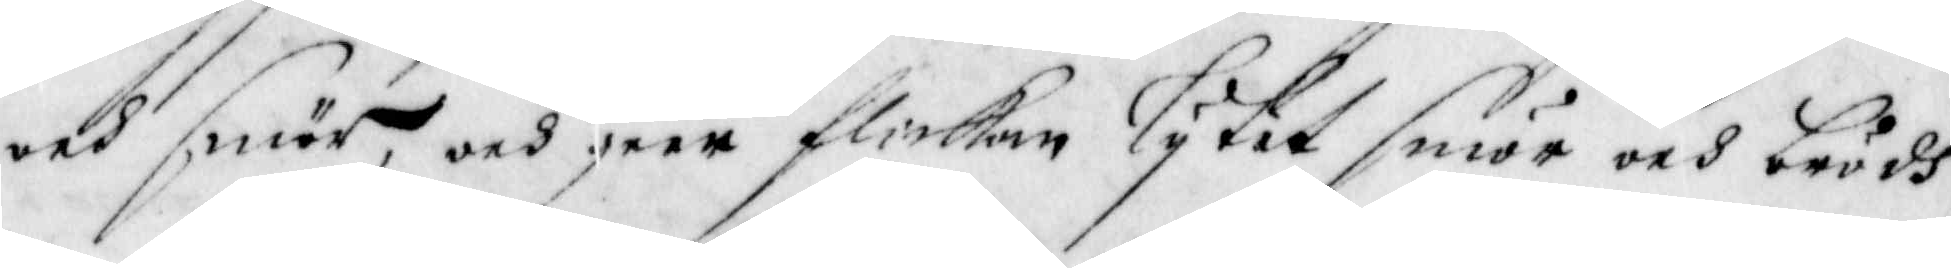och smör, och geer flickan lytet smör och brödh
